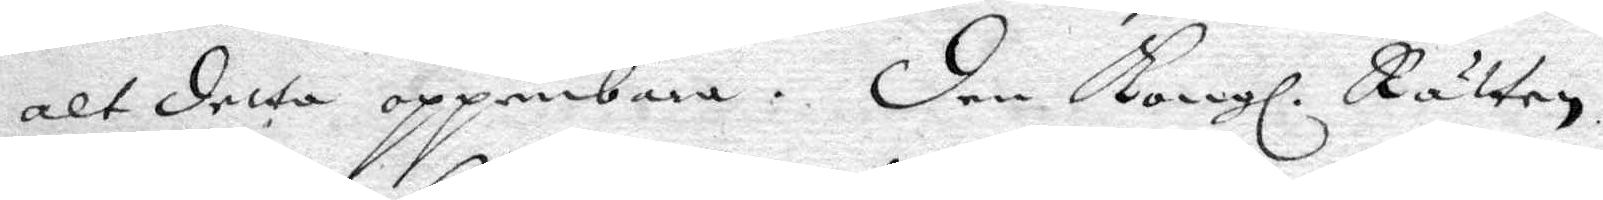alt detta uppenbara. den Kongl. Rätten
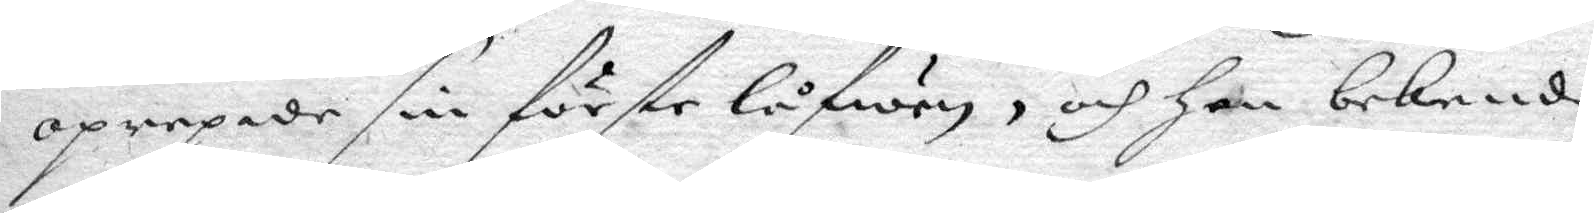oprepade sin förste låfwen, och hon bekende,
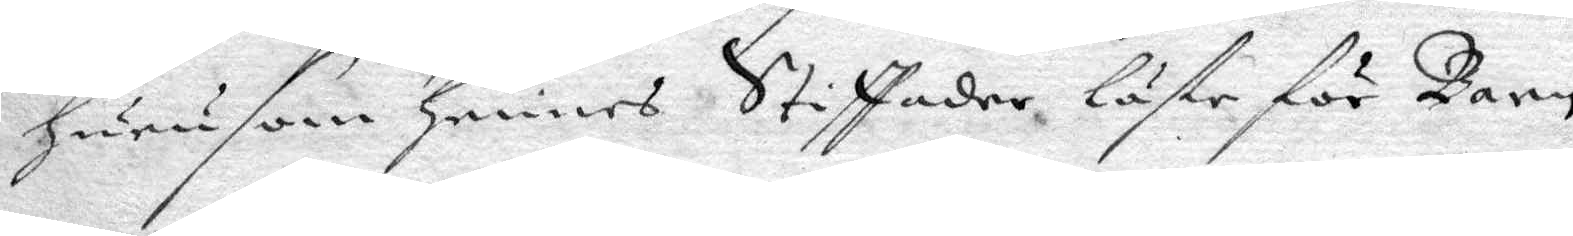huru som hennes Stiffader läste för Barn,
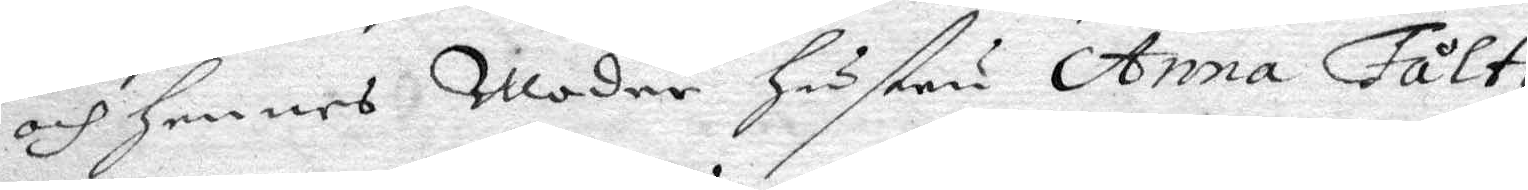och hennes Moder hustru Anna Fåltz
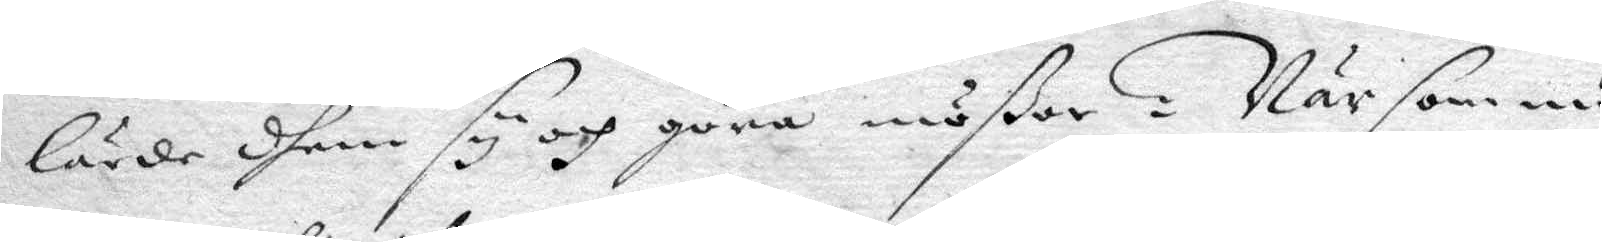lärde dem sy och göra mößor, När som nu
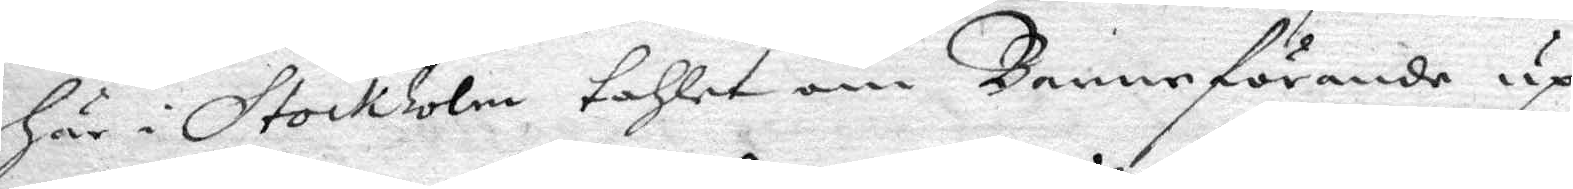här i Stockholm tahlet om Barnaförande up¬
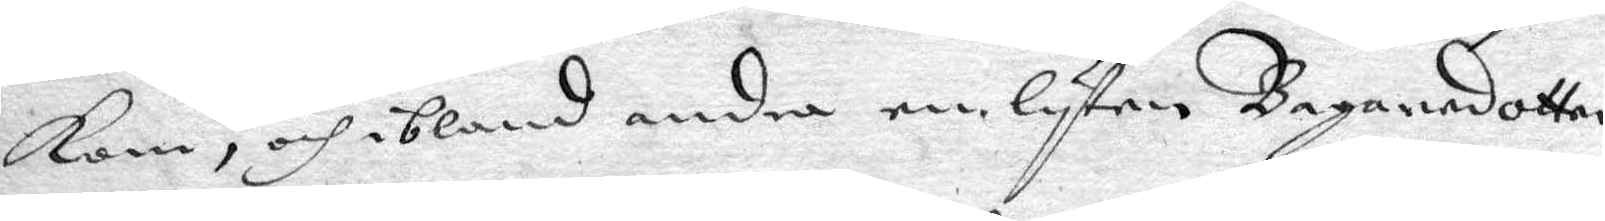kom, och ibland andra en lyten Bagaredotter
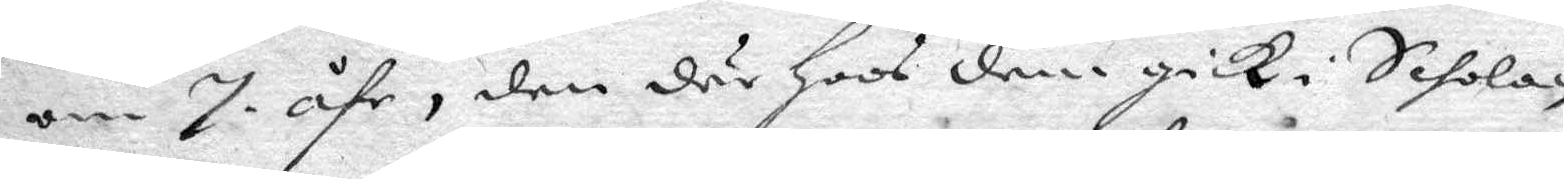om 7 åhr, den där hoos dem gick i Schola,
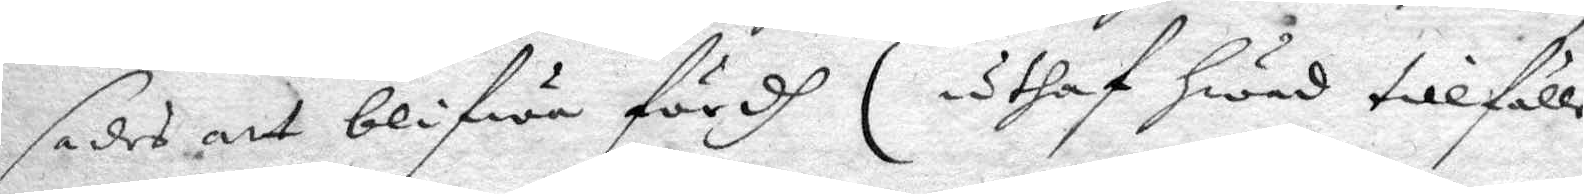sades att blifwa fördh (uthaf hwad tillfälle
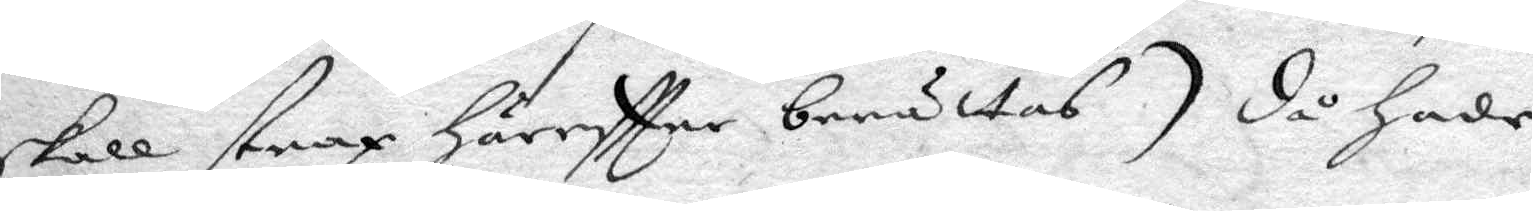skall strax häreftter berättas) då hade
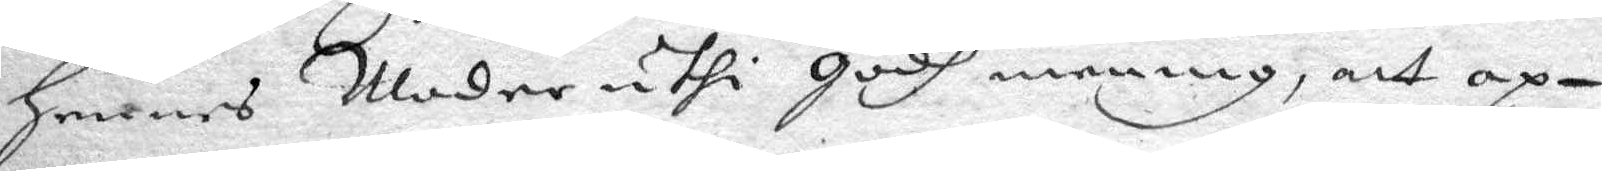hennes Moder uthi godh mening, att op¬
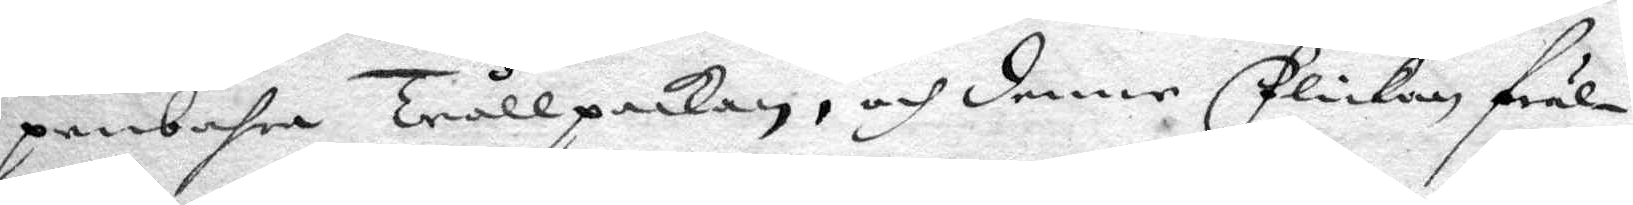penbahra Trållpackan, och denne Flickan fräl¬
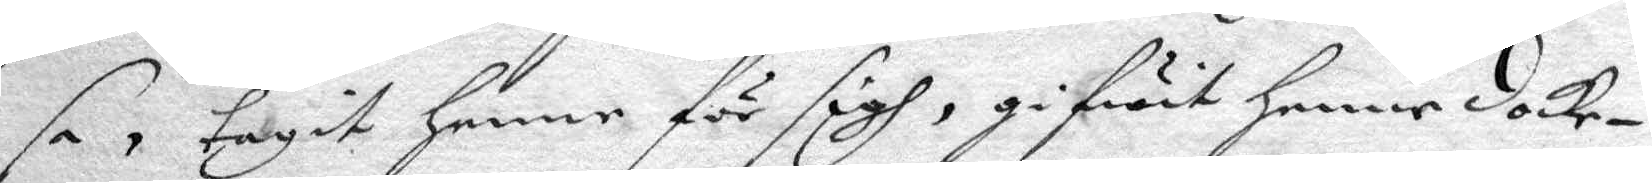sa, tagit henne för sigh, gifwit henne docke¬
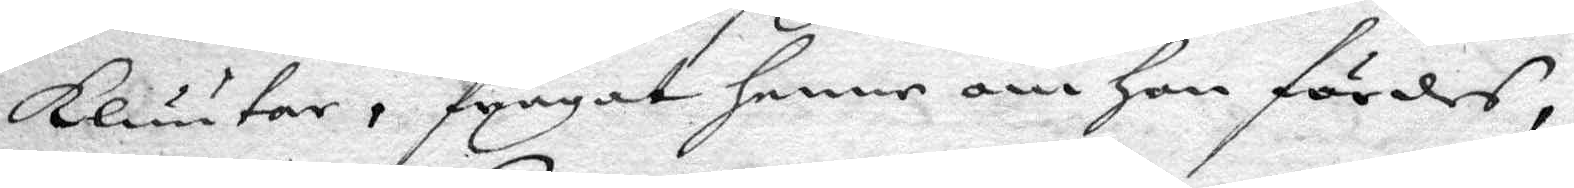kluutar, frågat henne om hon fördes,
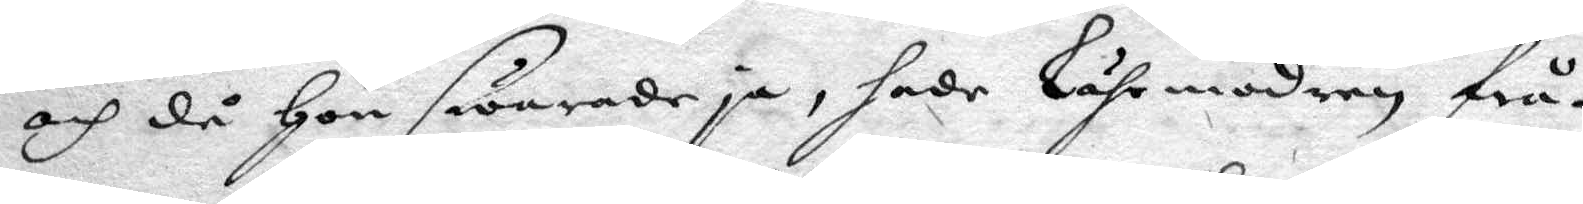och då hon swarade ja, hade lährmodren frå¬
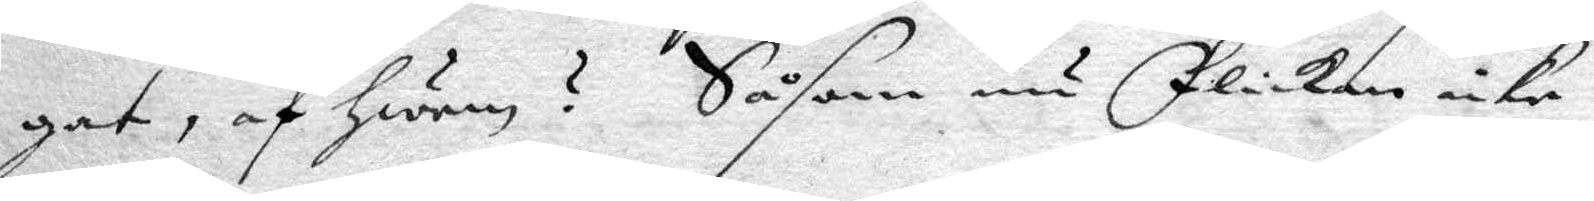gat, af hwem? Såsom nu Flickan icke
